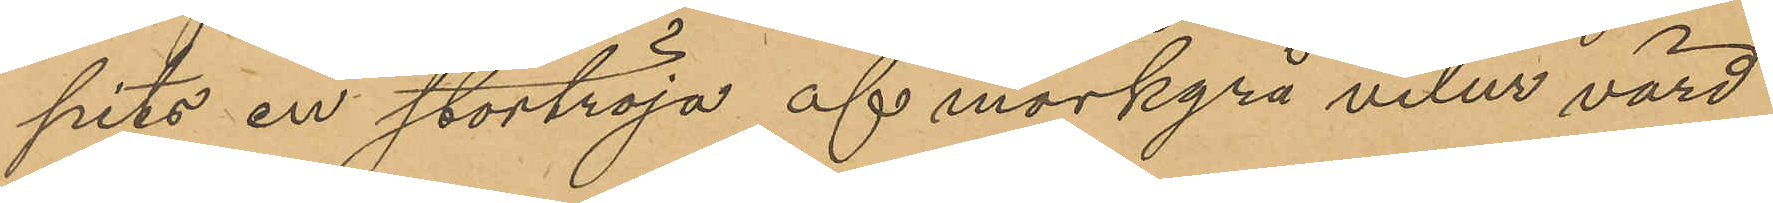pits en stortröja af mörkgrå velur värd
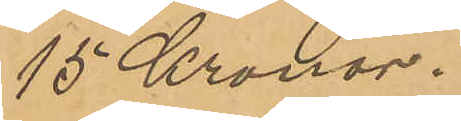15 Kronor.
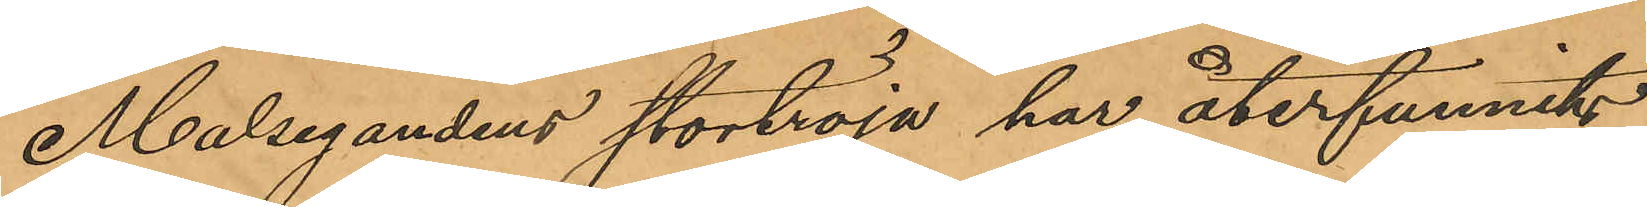Målsegandens stortröja har återfunnits
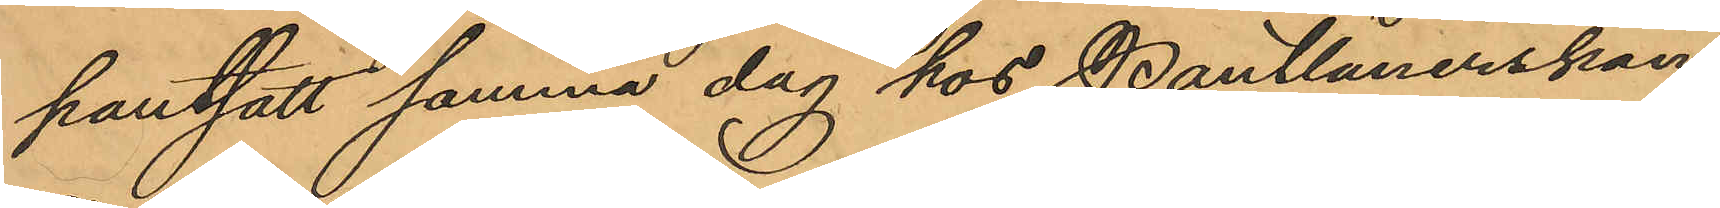pantsatt samma dag hos Pantlånerskan
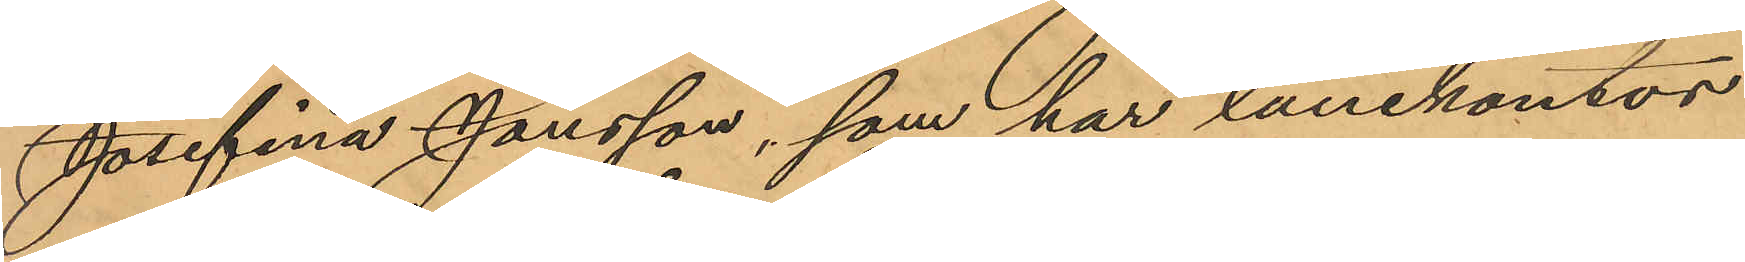Josefina Jonsson, som har lånekontor
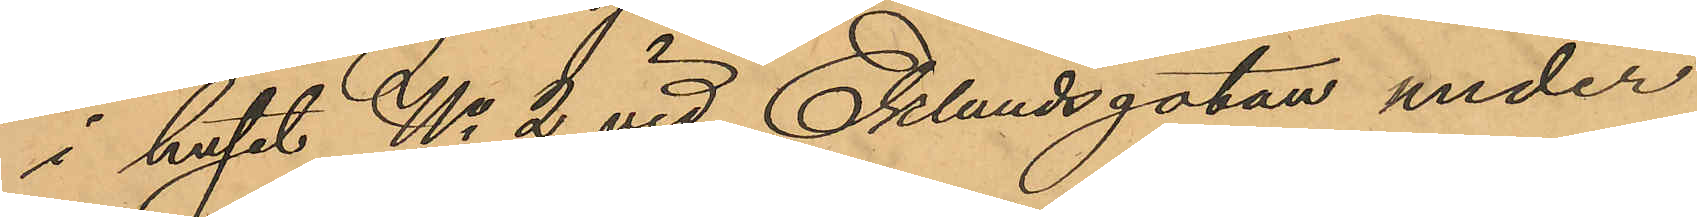i huset No 2 vid Eklundsgatan under
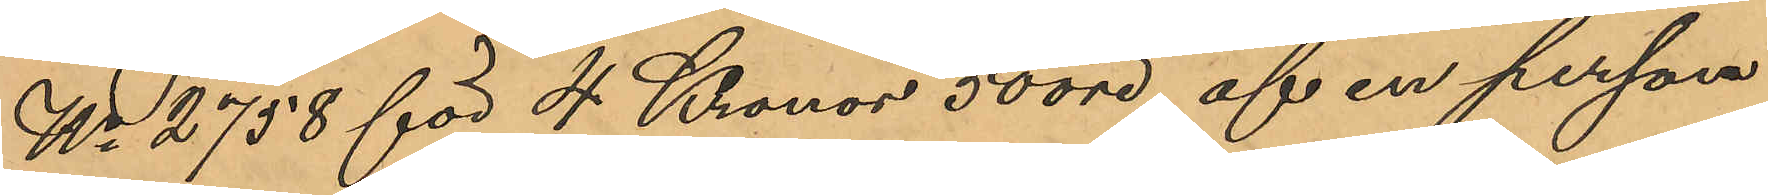No 2758 för 4 Kronor 50 öre af en person
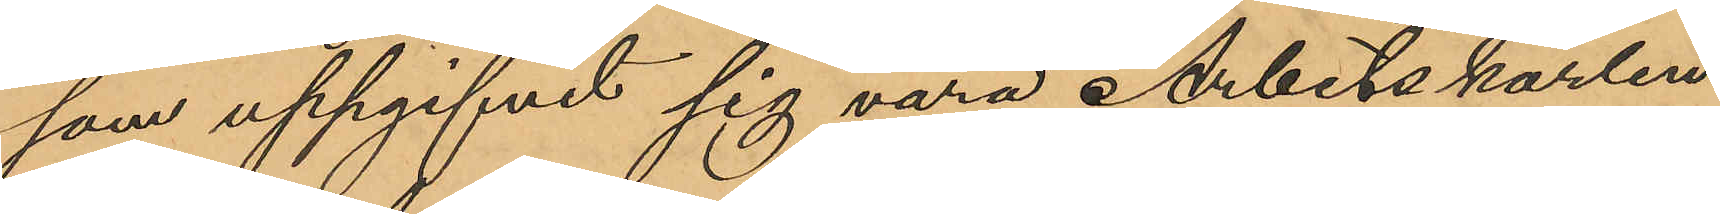som uppgifvit sig vara Arbetskarlen
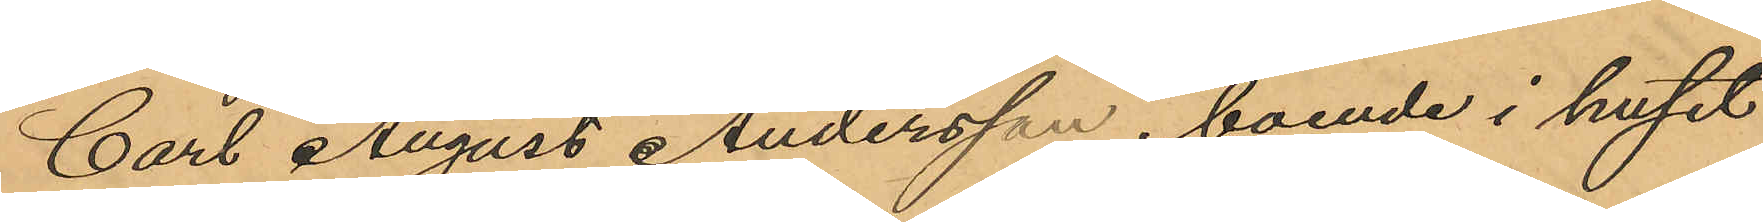Carl August Andersson, boende i huset
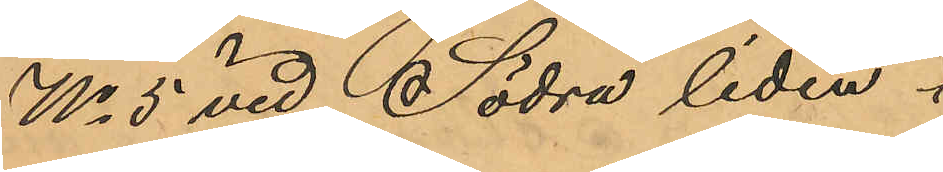No 5 vid Södra liden.
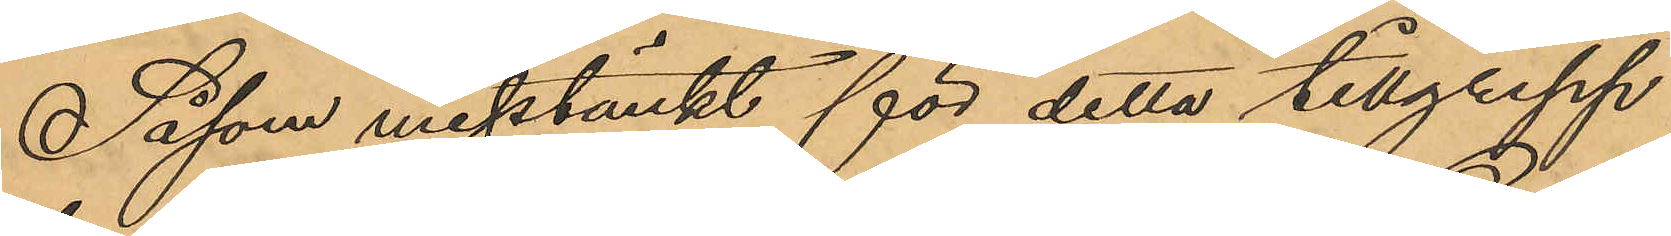Såsom misstänkt för detta tillgrepp
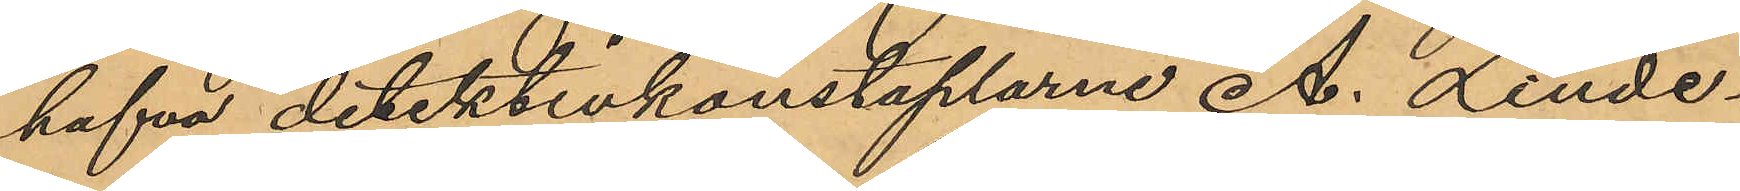hafva detektivkonstaplarne A. Linde¬
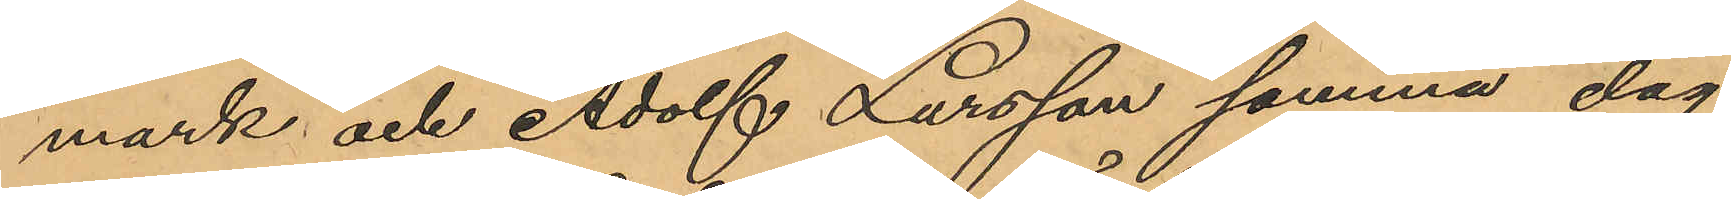mark och Adolf Larsson samma dag
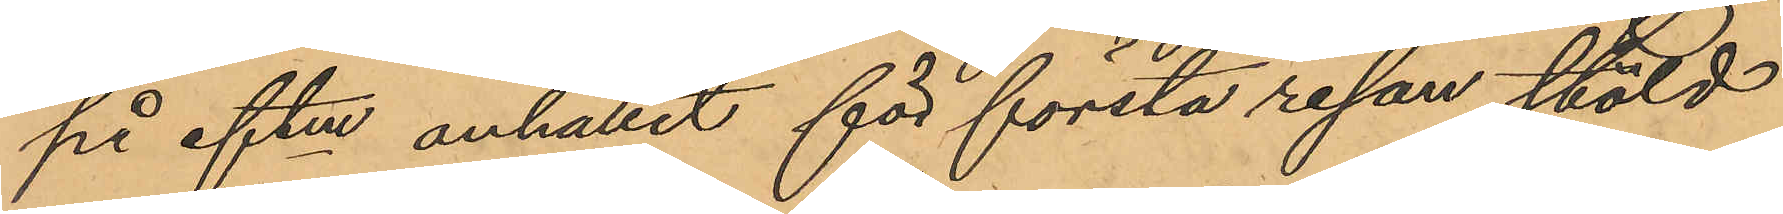på eftm anhållit för första resan stöld
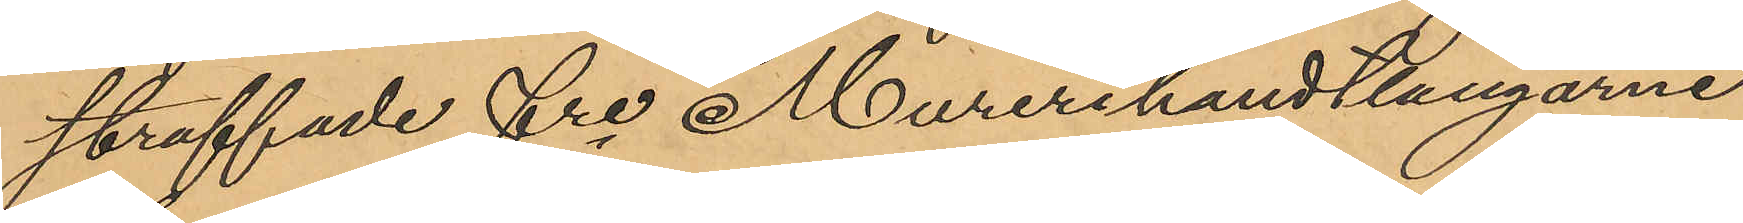straffade fre Murerihandtlangarne
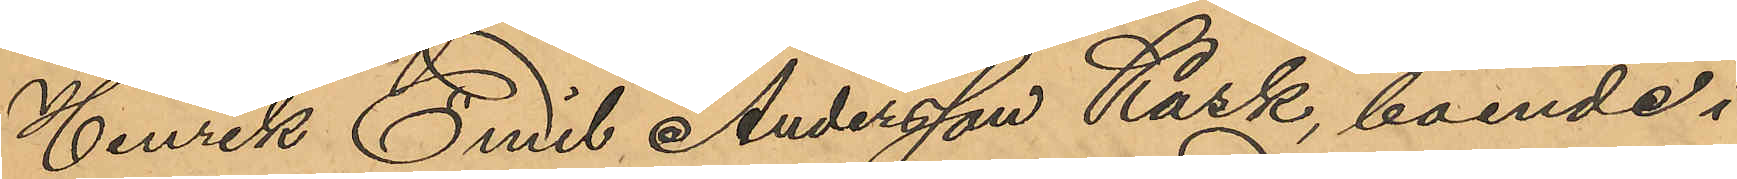Henrik Emil Andersson Kask, boende i
